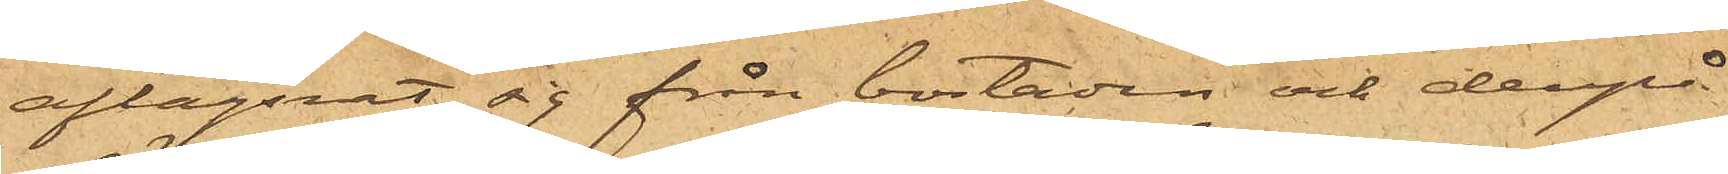aflägsnat sig från bostaden och derpå¬
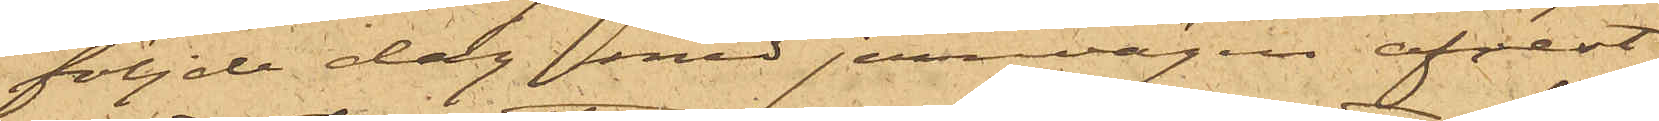följde dag med jernvägen afrest
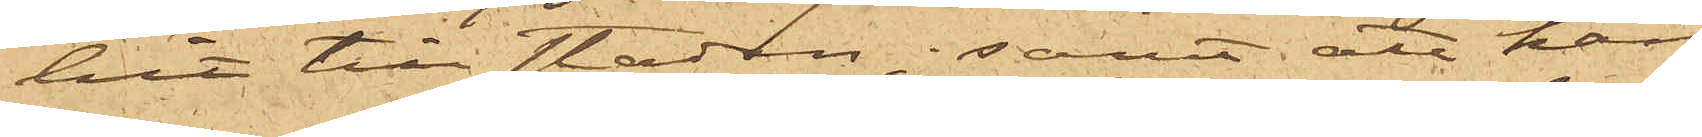hit till staden; samt att han
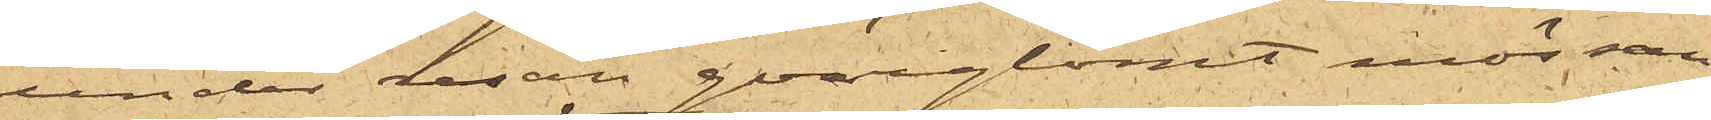under resan qvarglömt mössan
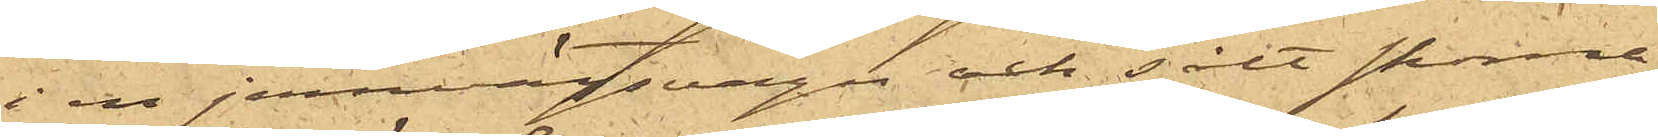i en jernvägsvagn och sålt skorna
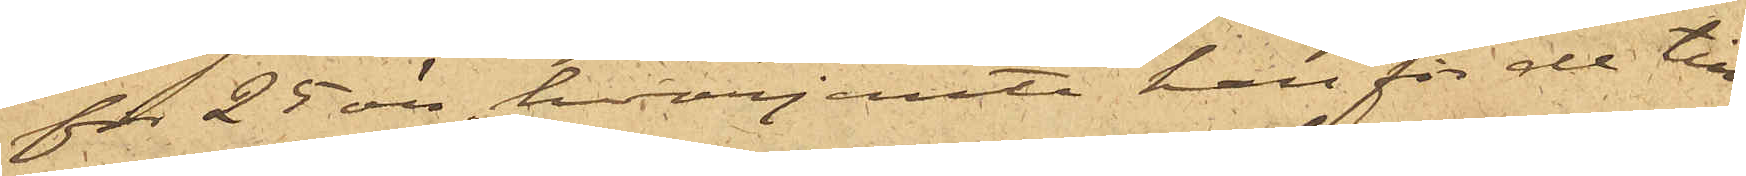för 25 öre, hvarjemte han för de till¬
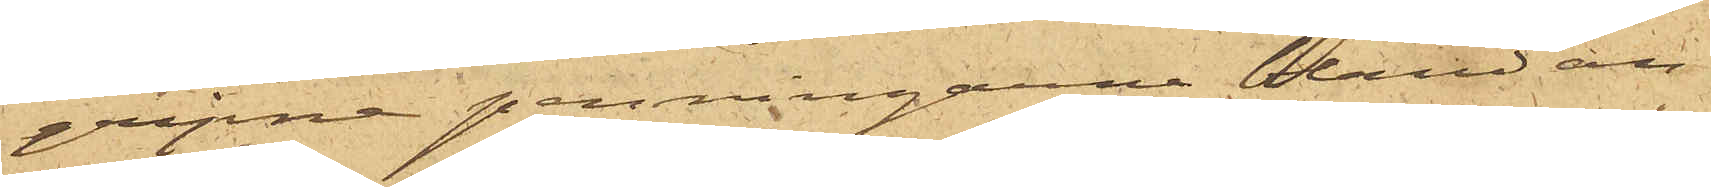gripne penningarne bland an¬
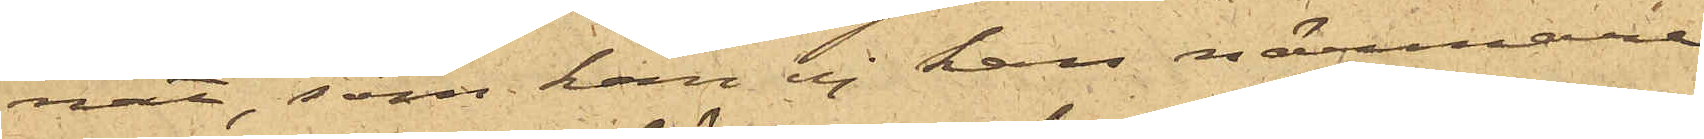nat, som han ej kan närmare
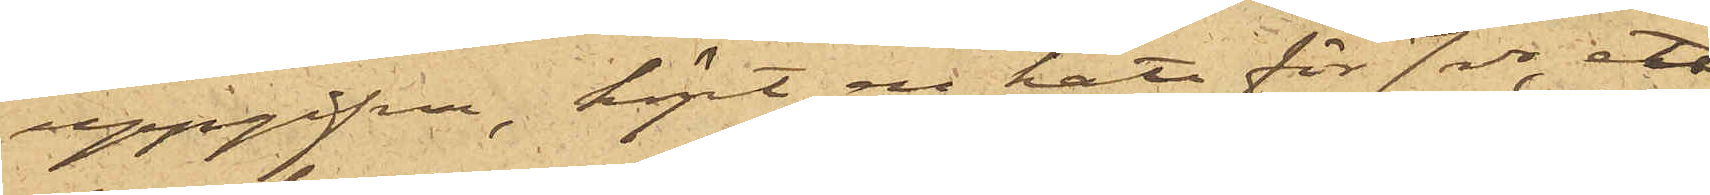uppgifva, köpt en hatt för 7 rdr, ett
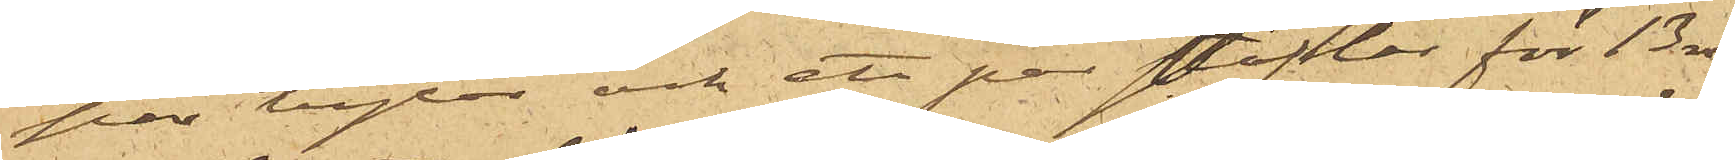par byxor och ett par stöflor för 13 rdr,
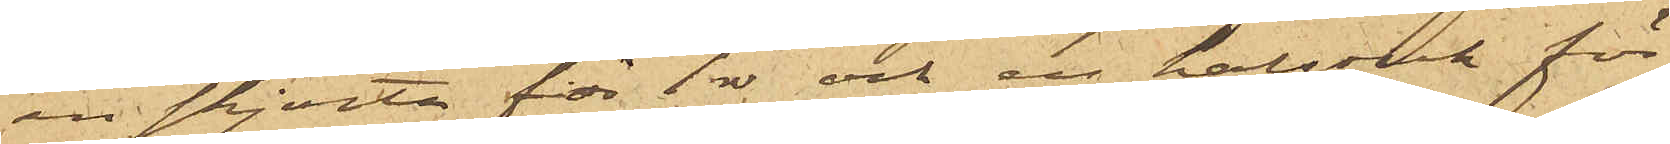en skjorta för 1 rdr och en halsduk för
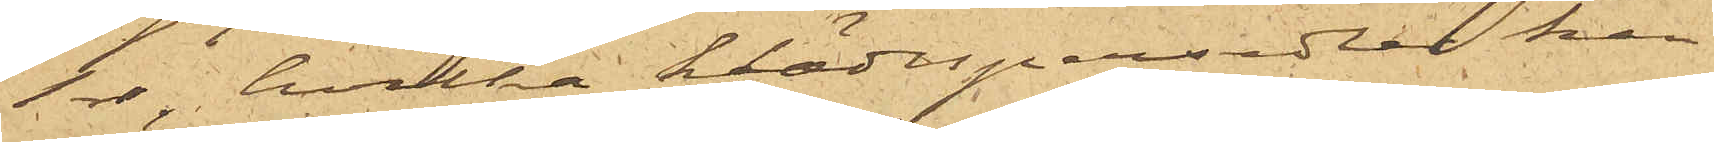1 rdr, hvilka klädespersedlar han
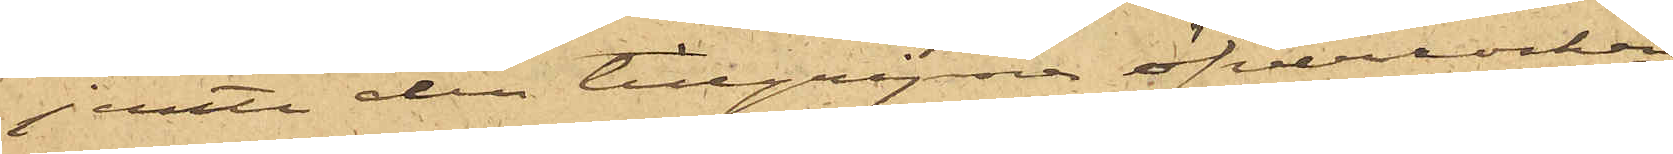jemte den tillgripne öfverrocken
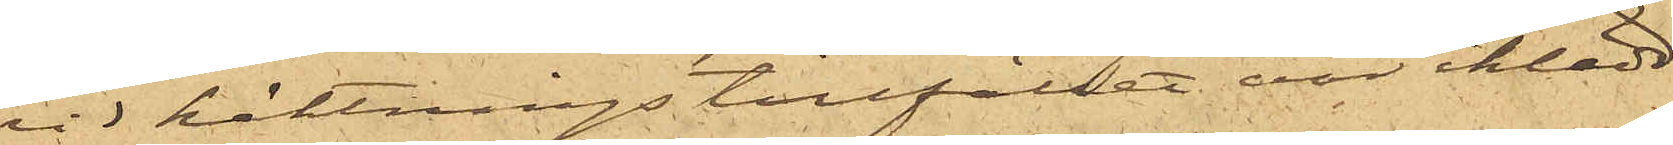vid häktningstillfället var iklädd.
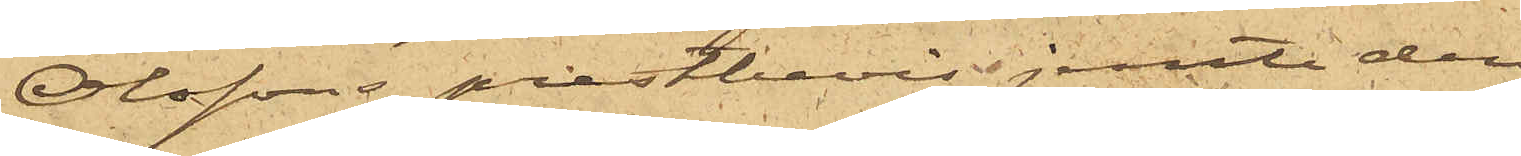Olssons prestbevis jemte den
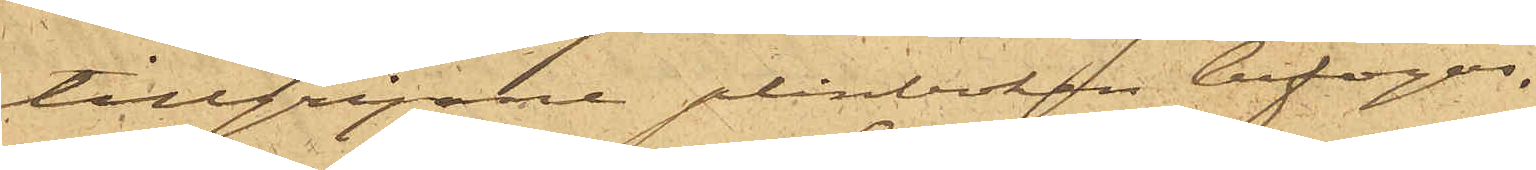tillgripne plånboken bifogas.
